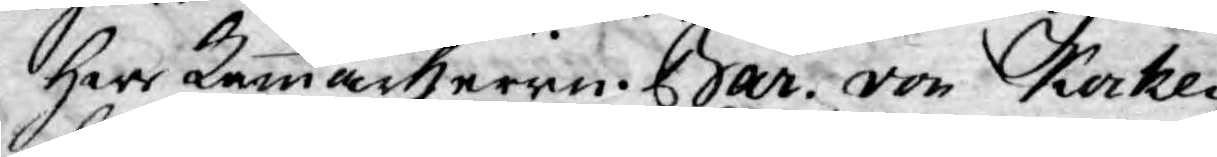Herr Kammarherrn Bar. von Kocken
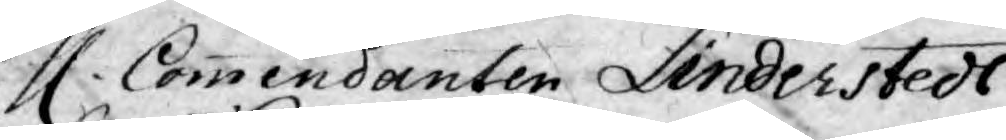H. Commendanten Linderstedt
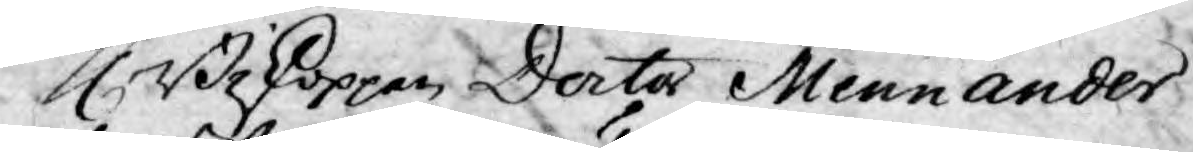H. Biskoppen Doctor Mennander
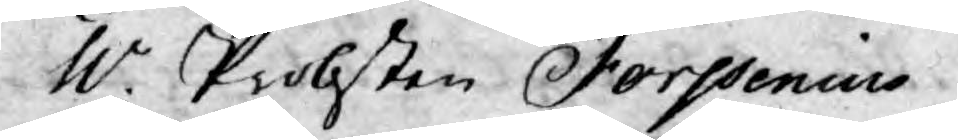H.r Probsten Forssenius
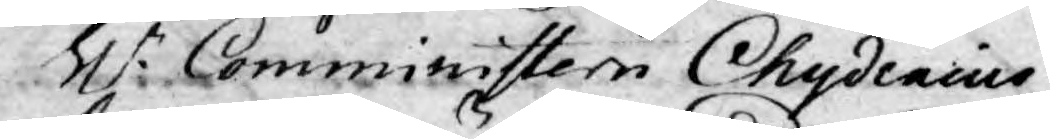H.r Comministern Chydenius
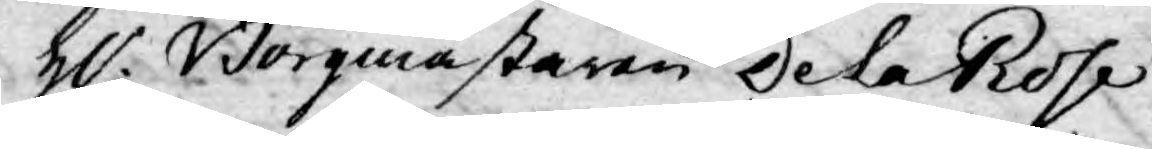H.r Borgmästaren De la Rose
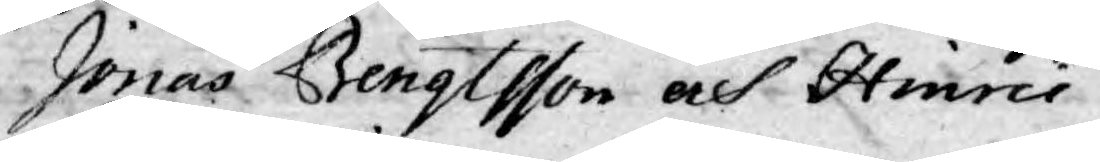Jonas Bengtsson och Hinric
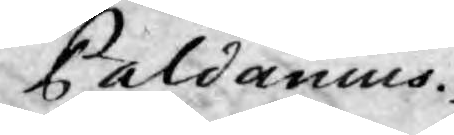Paldanius.
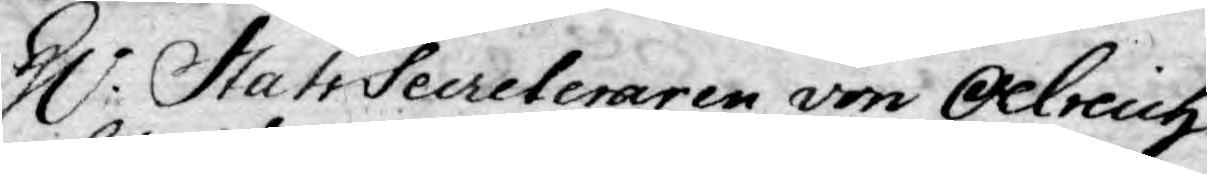H.r Stats Secreteraren von Oelreich
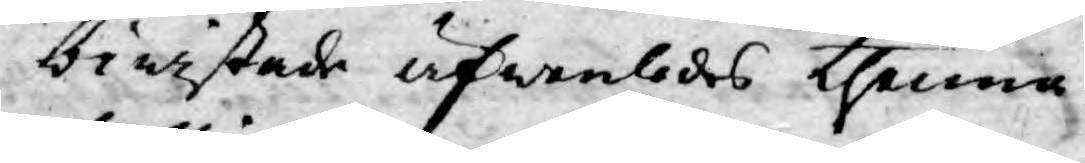biwistade äfwenledes thenna
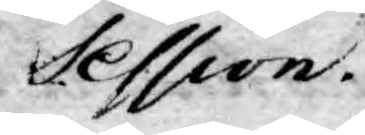Session.
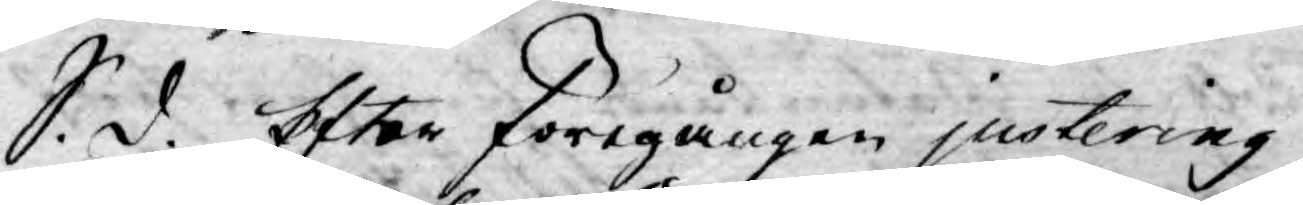S. d. Efter föregången justering
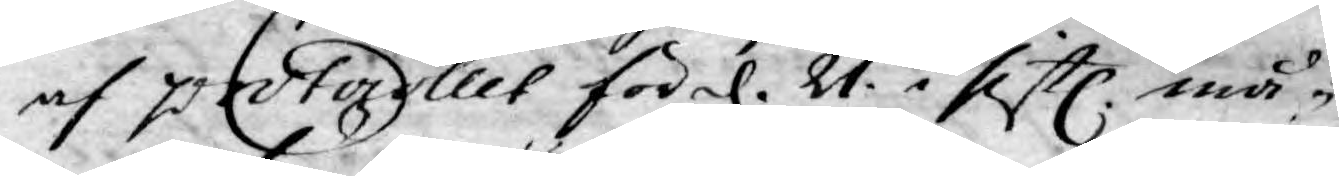af protocollet för d. 21. i sistl. må¬
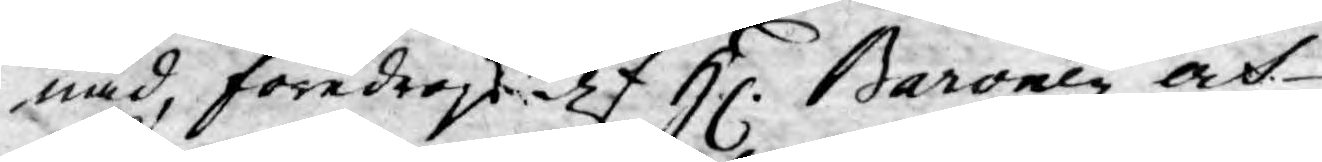nad, föredrogs af H. Baronen och
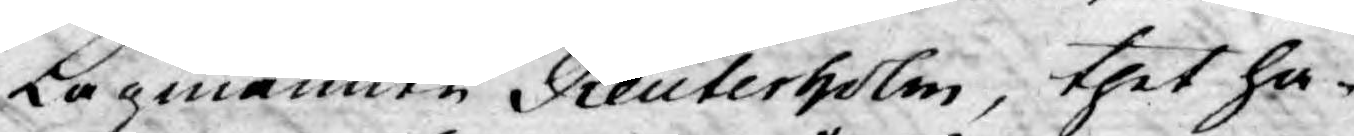Lagmannen Reuterholm, thet ha¬
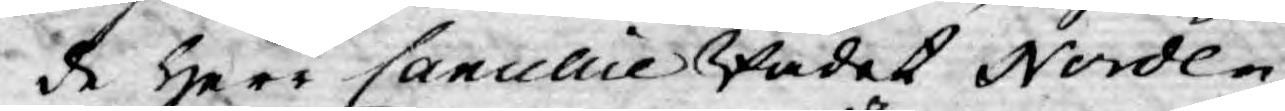de Herr CancellieRådet Norden¬
